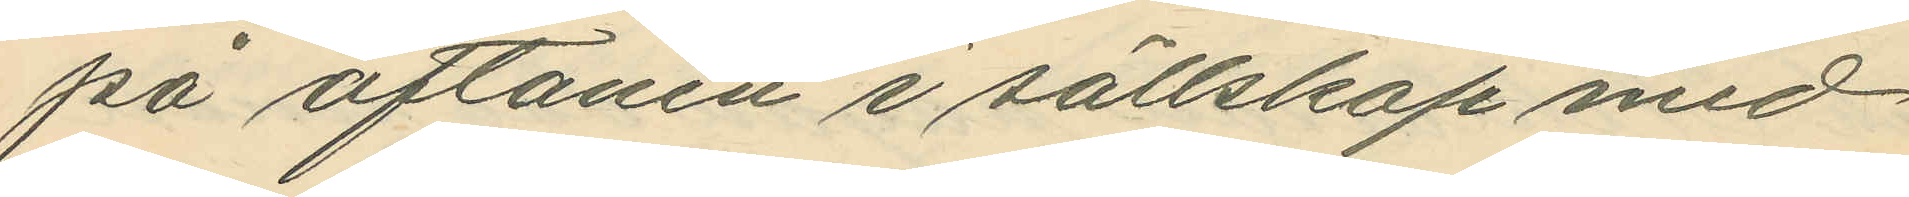på aftonen i sällskap med
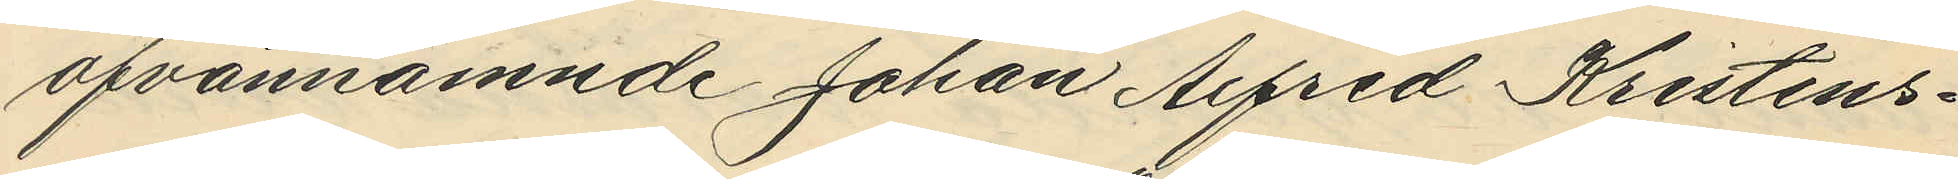ofvannämnde Johan Alfred Kristens¬
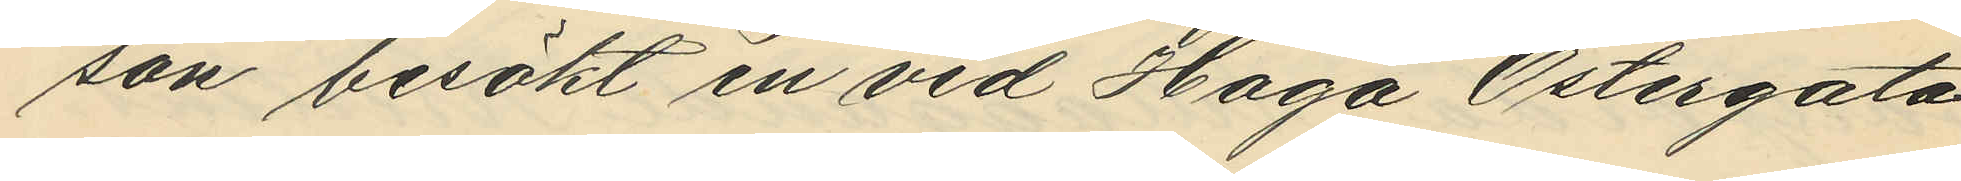son besökt en vid Haga Östergata
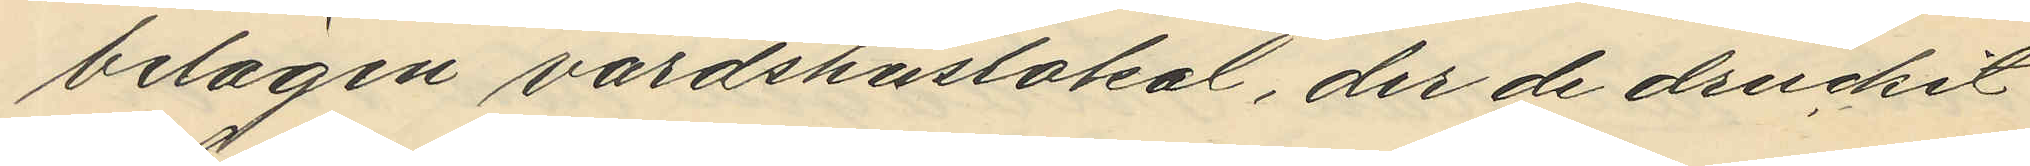belägen värdshuslokal, der de druckit
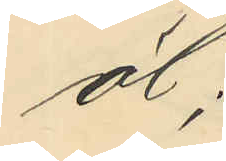öl;
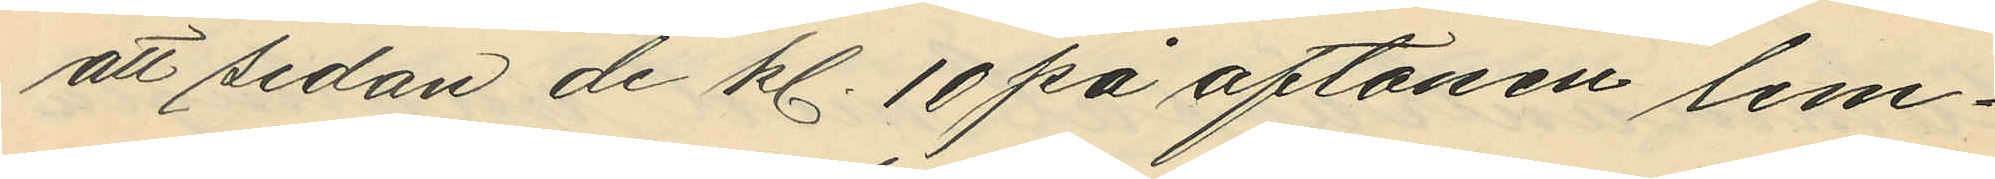att sedan de kl. 10 på aftonen lem¬
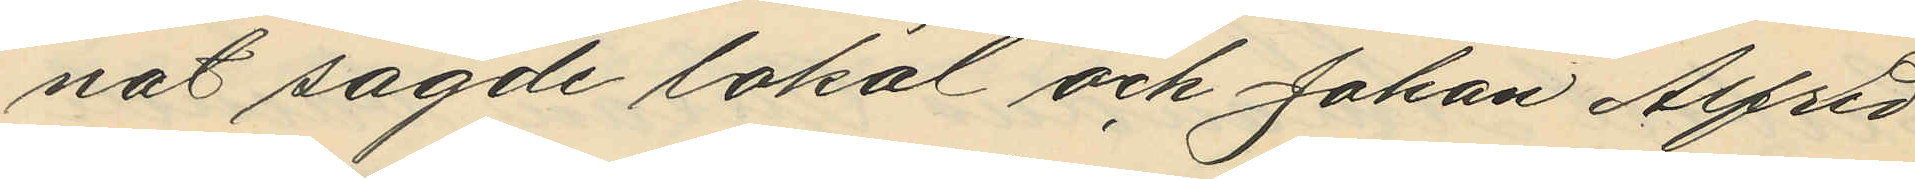nat sagde lokal och Johan Alfred
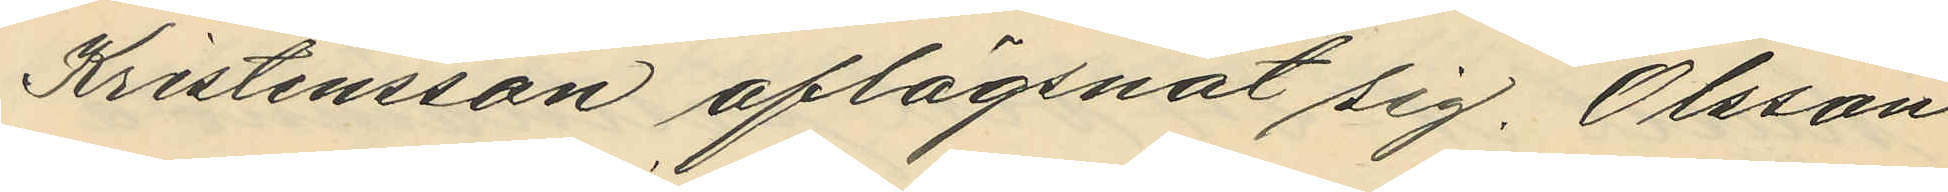Kristensson aflägsnat sig, Olsson
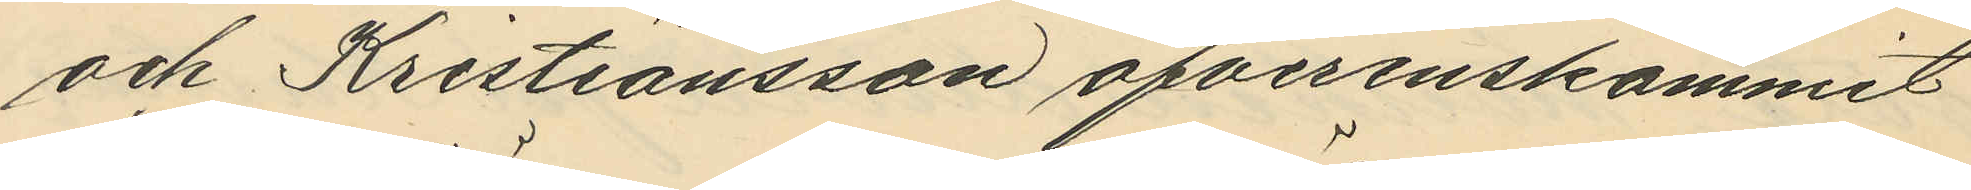och Kristiansson öfverenskommit
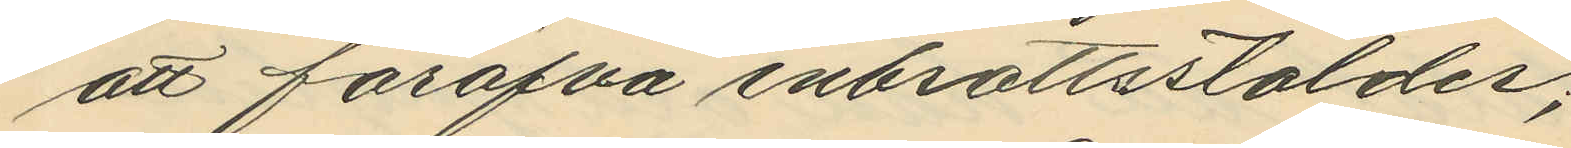att föröfva inbrottsstölder;
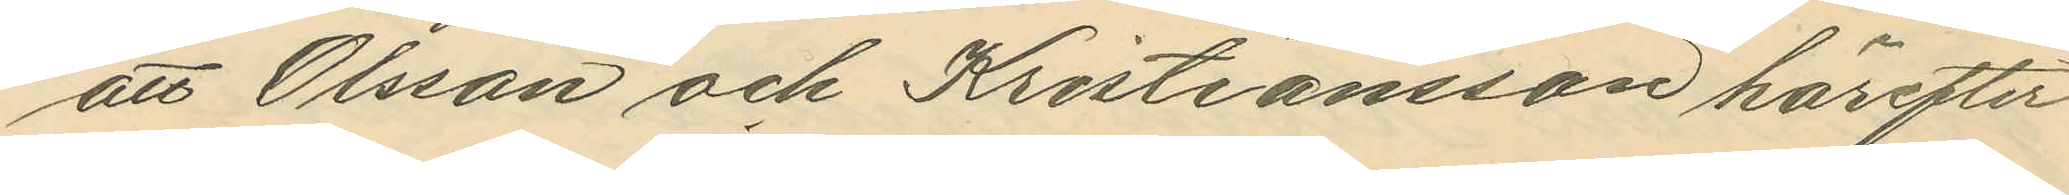att Olsson och Kristiansson härefter
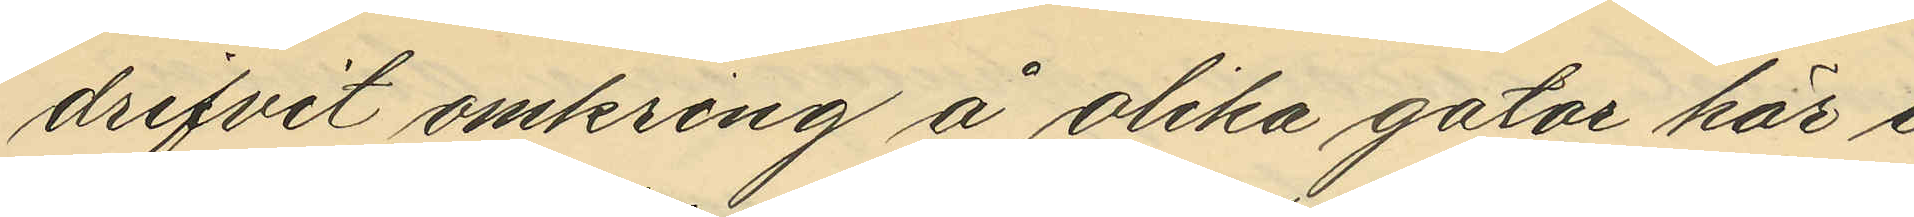drifvit omkring å olika gator här i
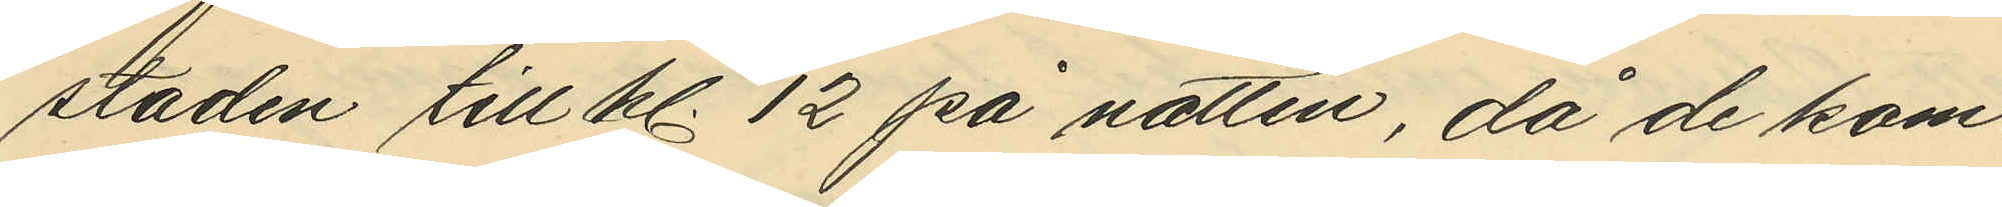staden till kl. 12 på natten, då de kom¬
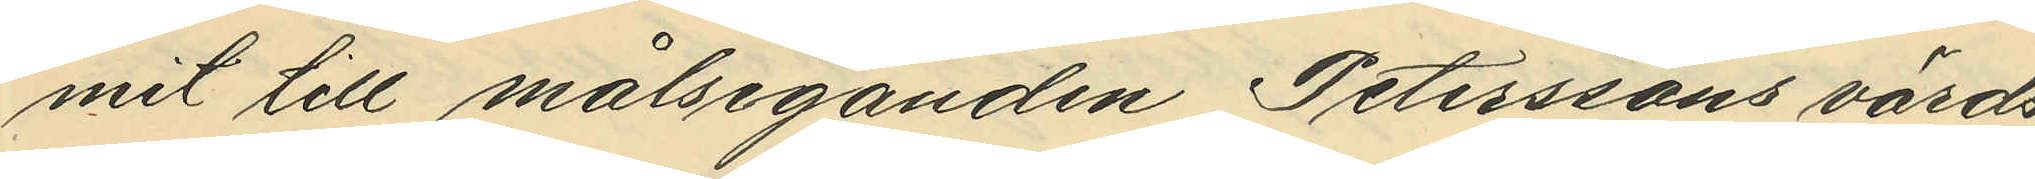mit till målseganden Peterssons värds
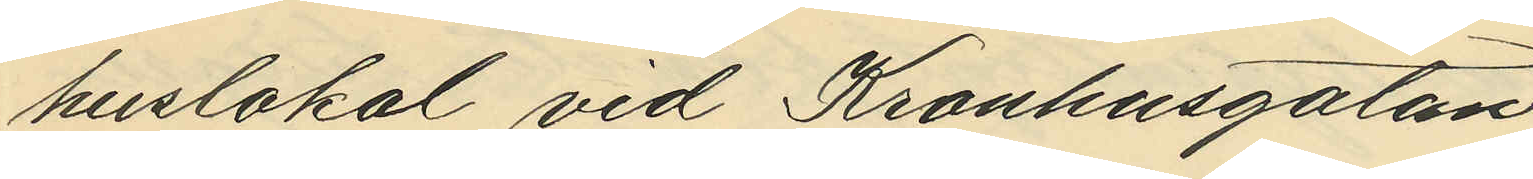huslokal vid Kronhusgatan;
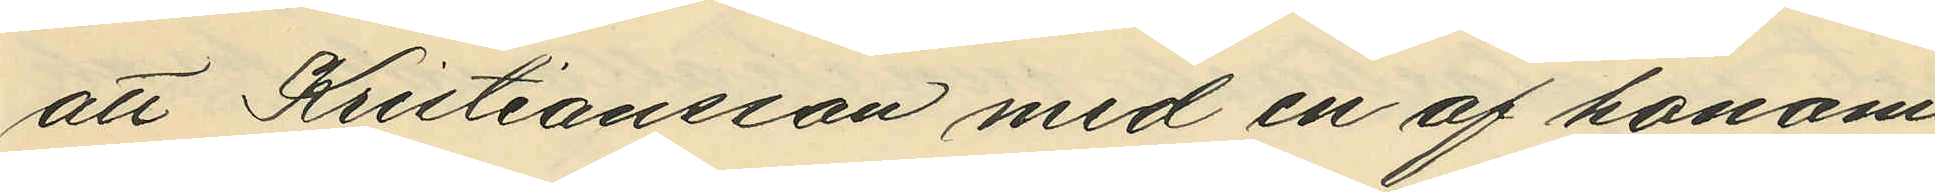att Kristiansson med en af honom
